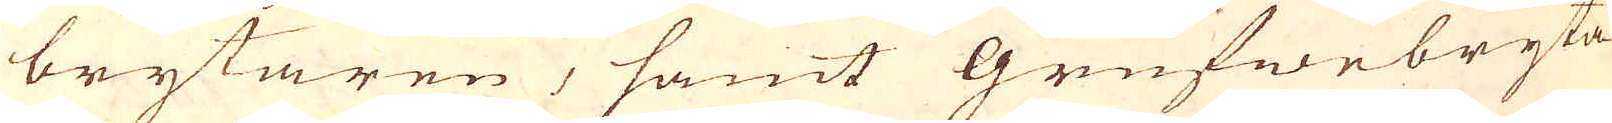brytaren, samt Grufwebryta-
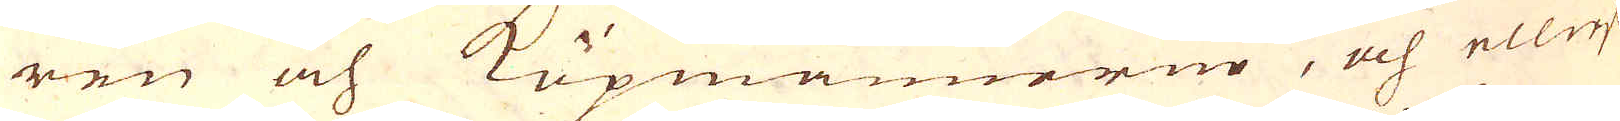ren och Köpmännerne, och elliest
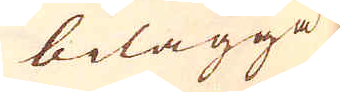bilägga
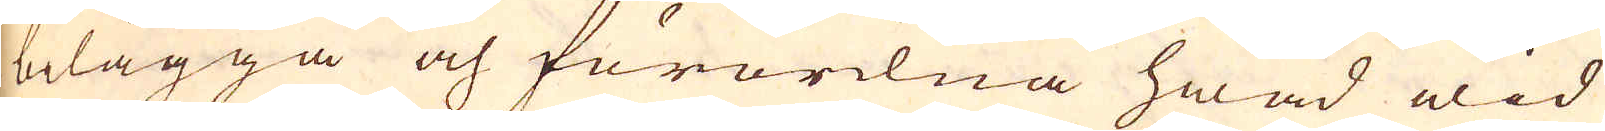bilägga och förordna hwad wid
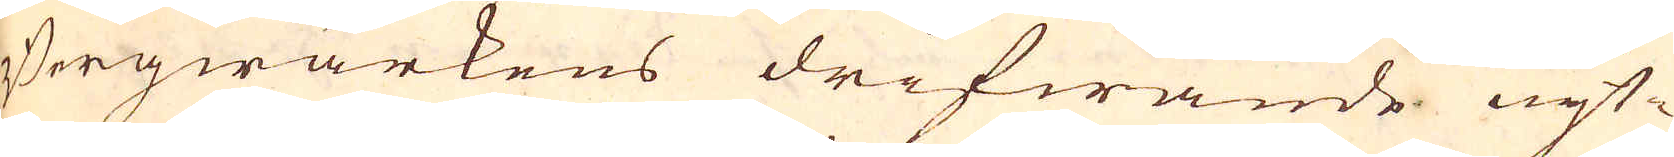Bergwärkens drifwande nyt-
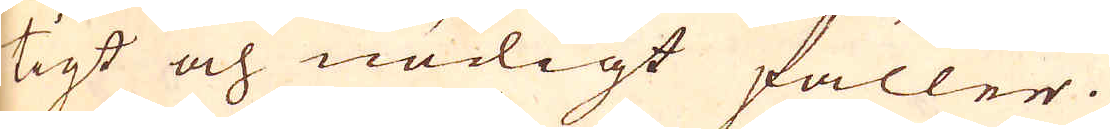tigt och nödigt faller.
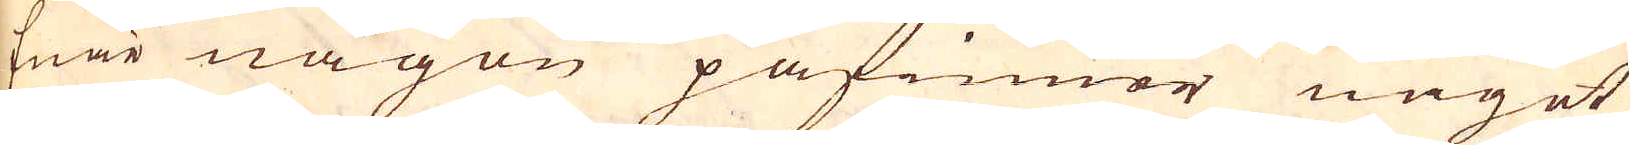Enär någon påfinner någet
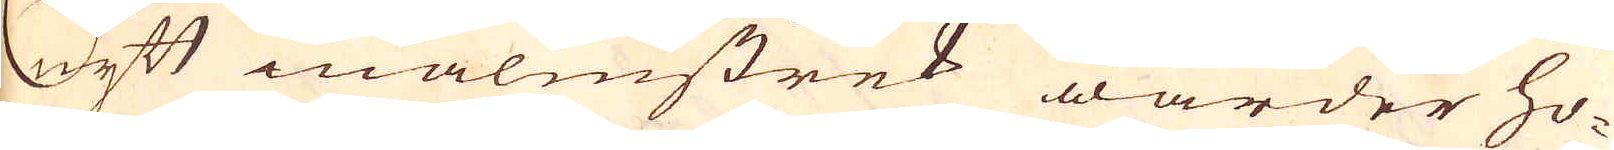nytt malmstrek warder ho-
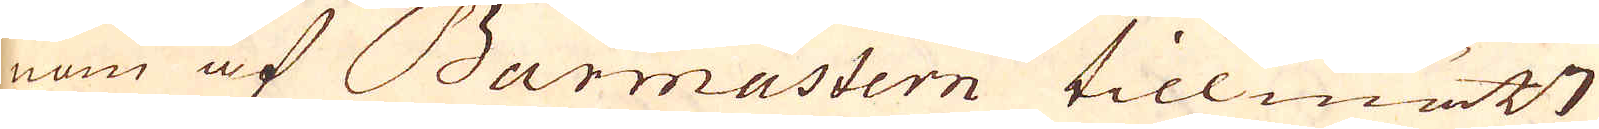nom af Barmastern tillmätt
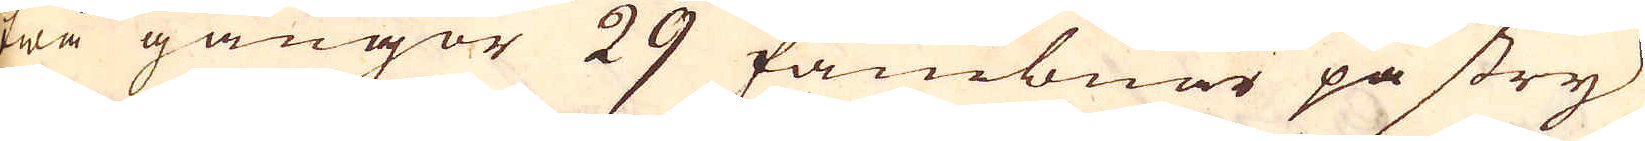twå gångor 29 fambnar på stry-
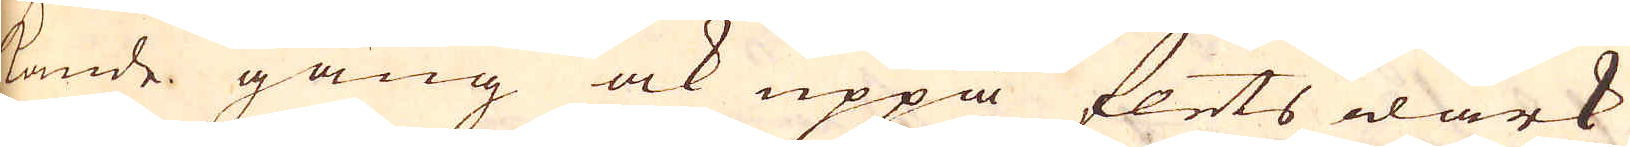kande gång ock uppå flets wärk
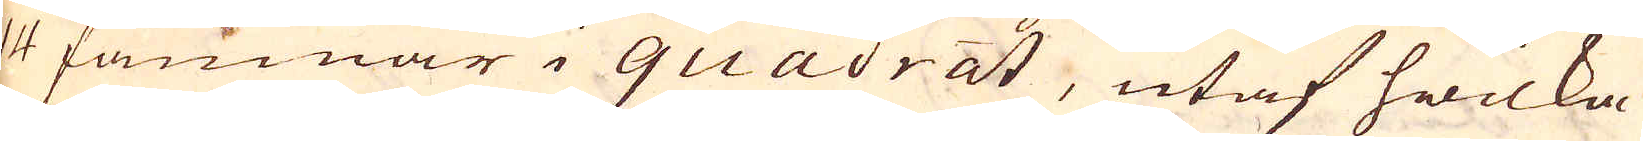14 famnar i quadrat, utaf hwilka
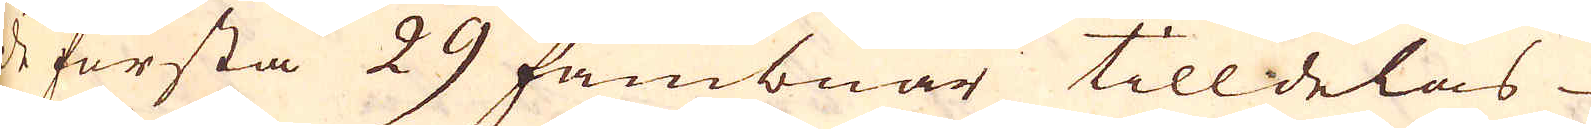de första 29 fambnar tilldelas
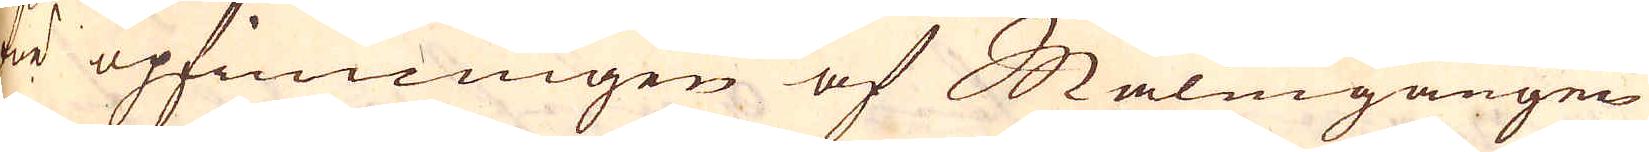för opfinningen af Malmgången
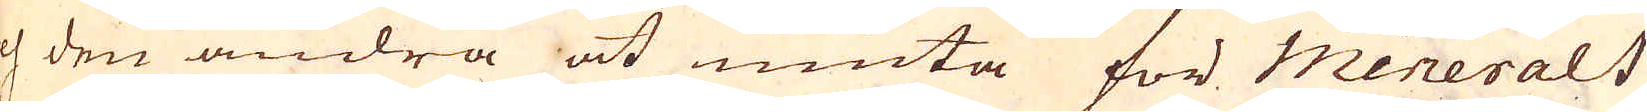och den andra at niuta för Minerals
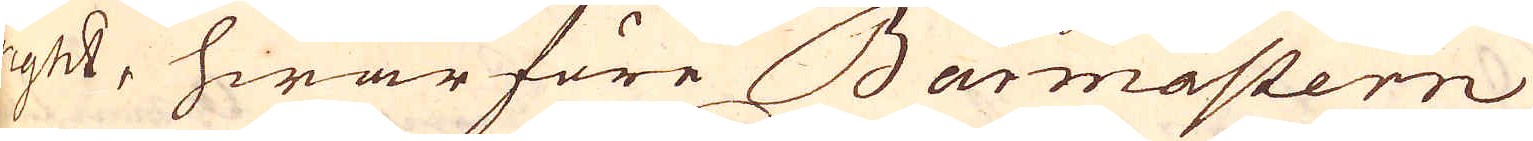right, hwarföre Barmastern
